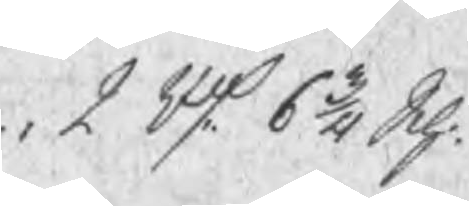2 Rd 6 3/4 Sch.
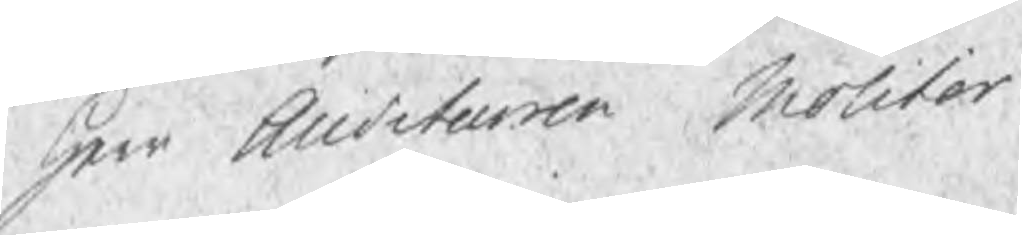Herr Auditeuren Molitor
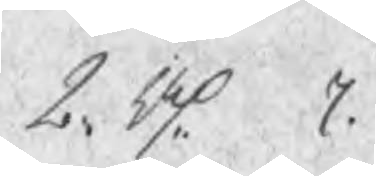2 Rd  7.
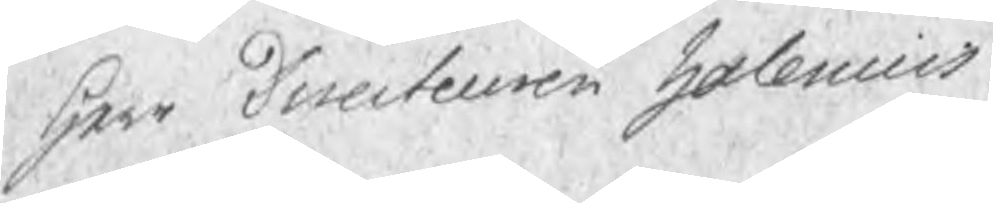Herr Directeuren Halenius
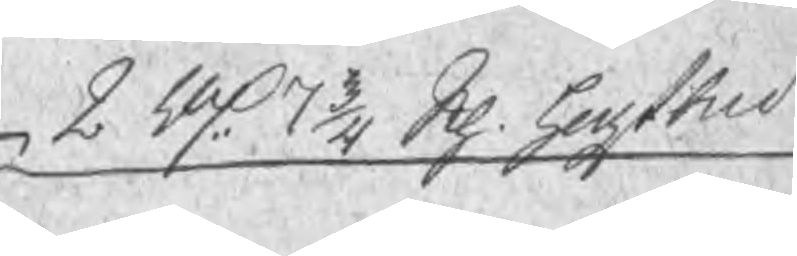2 Rd 7 3/4 Sch. hogst bud
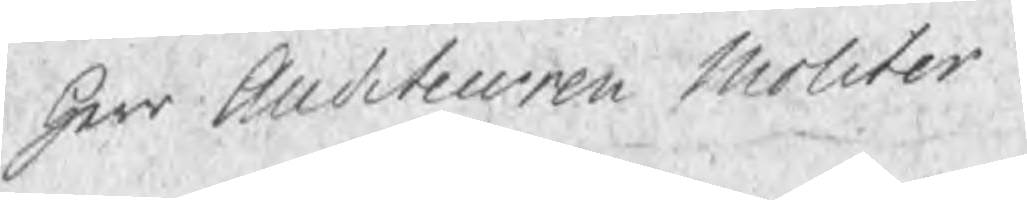Herr Auditeuren Molitor
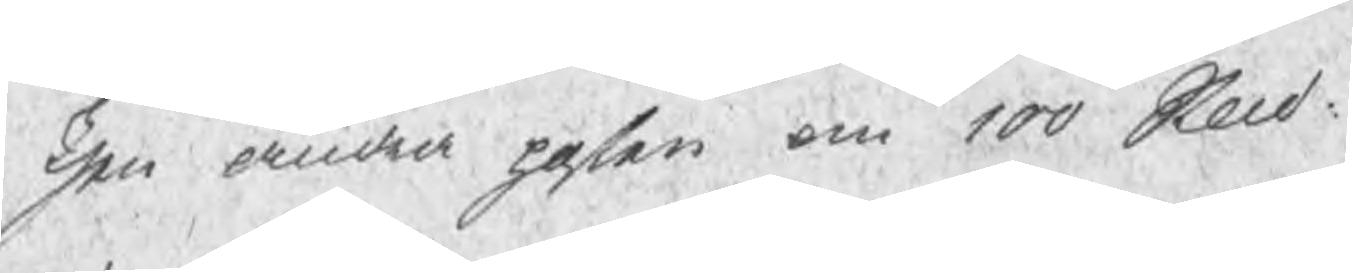Then andra posten om 100 Sknd:
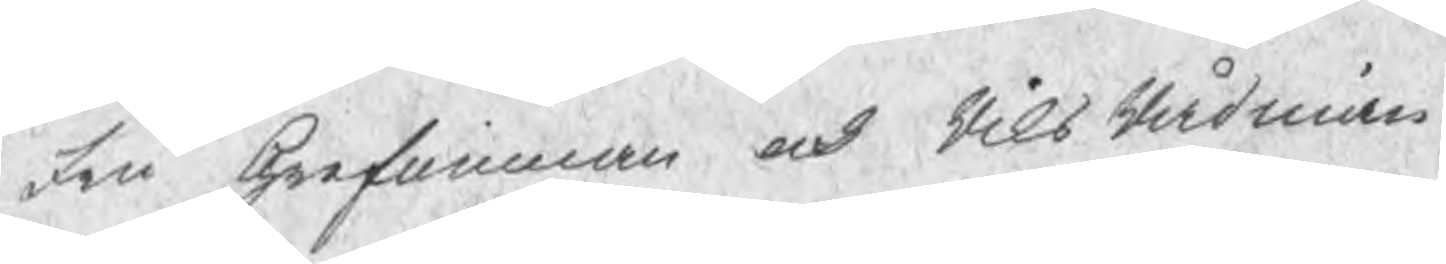Fru Grefuinnan och RiksRådinnan
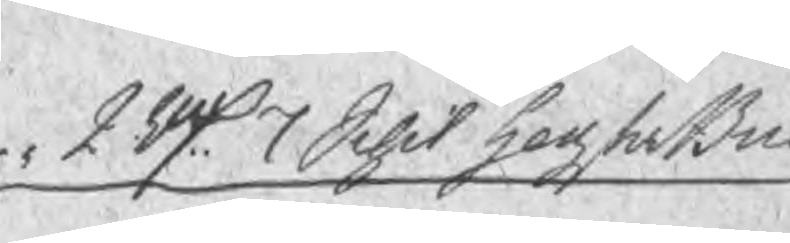2 Rd 7 Schil högsta Bud
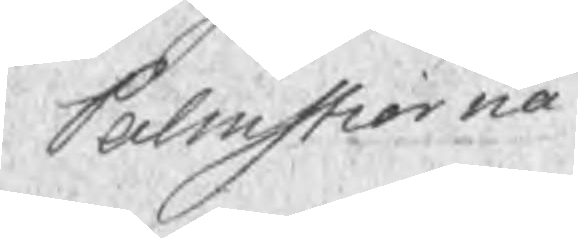Palmstierna
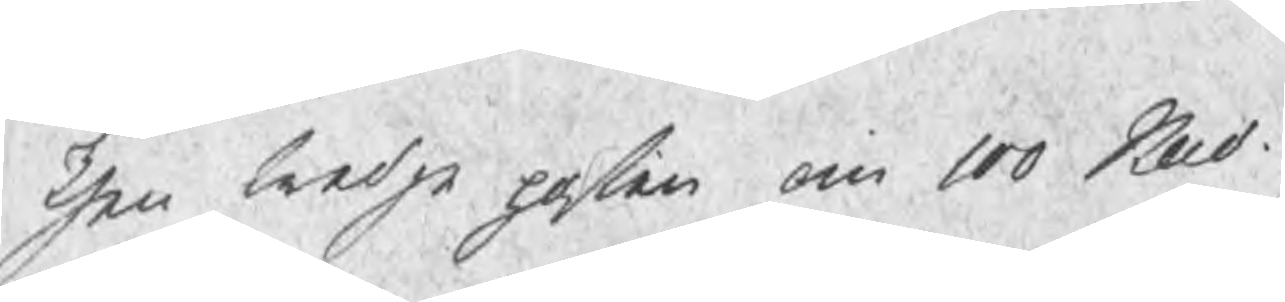Then tredje posten om 100 Sknd
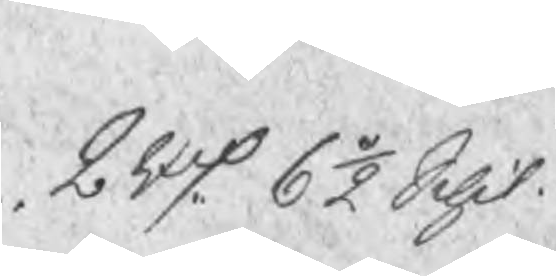2 Rd 6½ Schil.
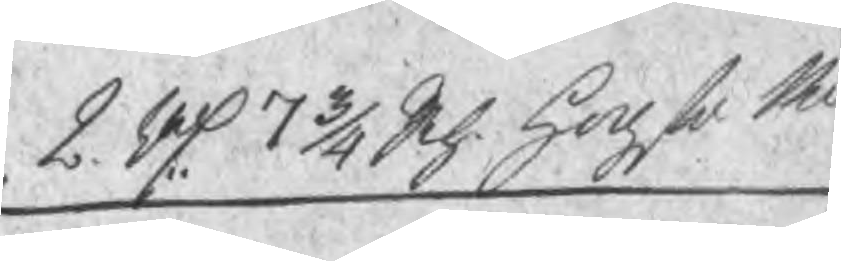2 Rd 7 3/4 Sch. Hogsta Bu  Herr BruksPatron Almgren  2 Rd 3 1/4 Schil
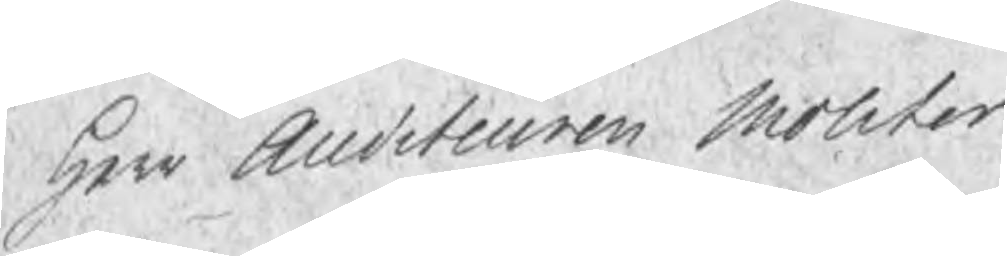Herr Auditeuren Molitor
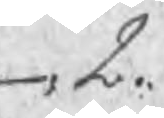2.  7.
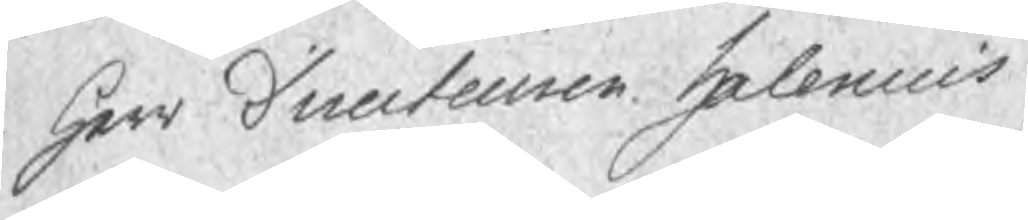Herr Directeuren Halenius
